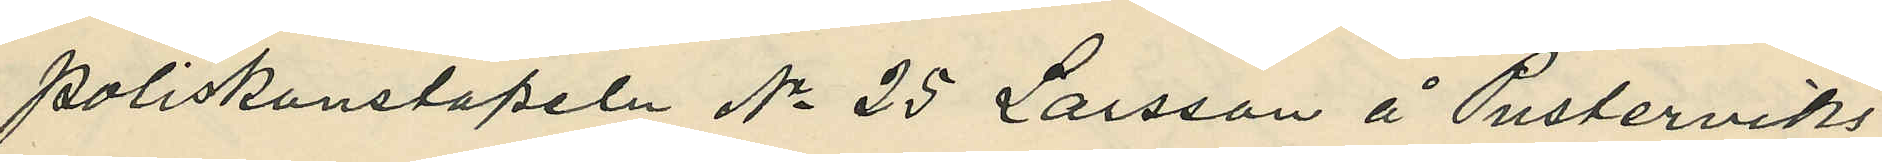poliskonstapeln No 25 Larsson å Pusterviks¬
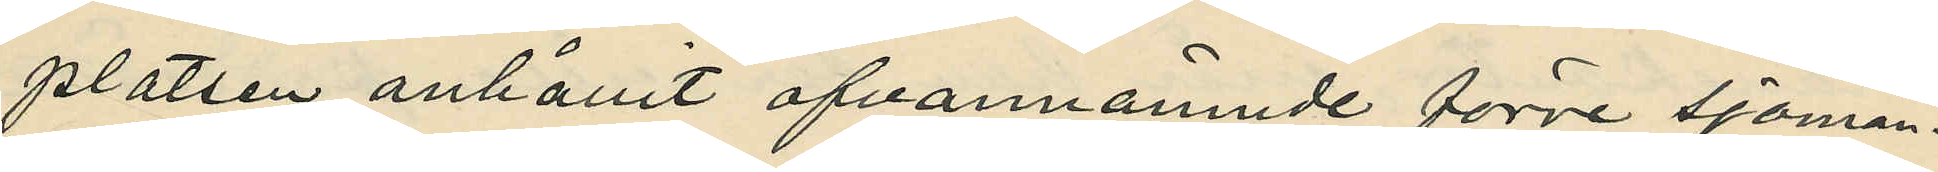platsen anhållit ofvannände förre sjöman¬
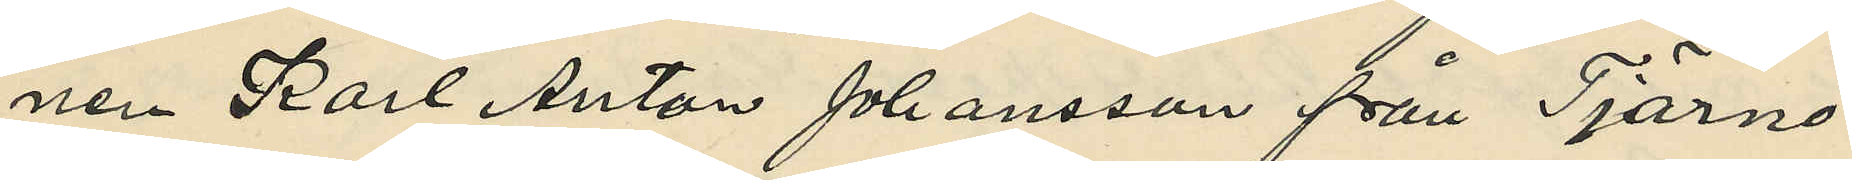nen Karl Anton Johasson från Tjärnö
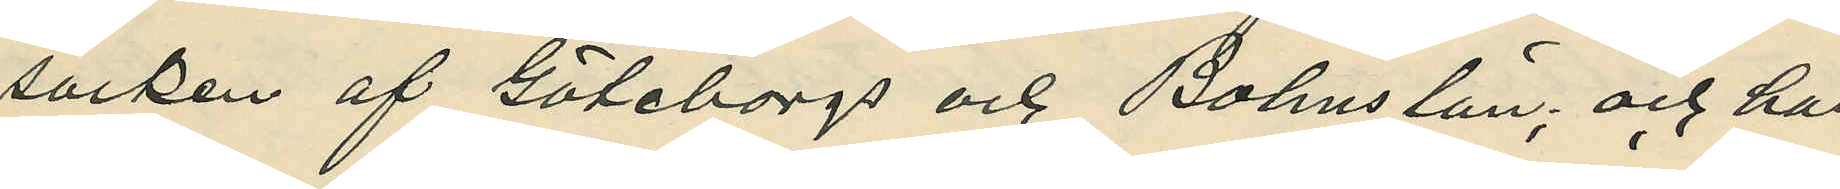socken af Göteborgs och Bohuslän; och har
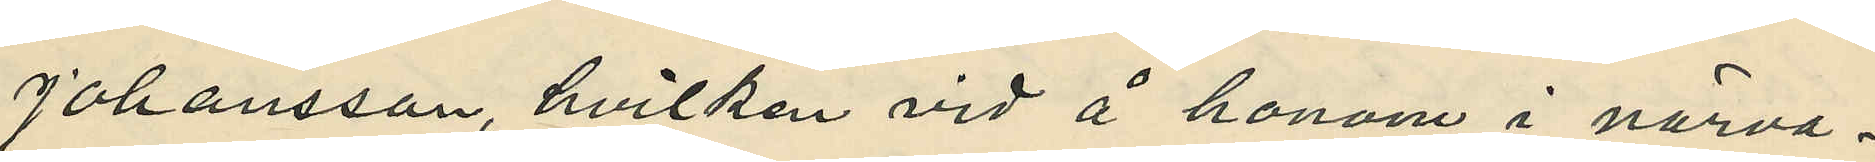Johansson, hvilken vid å honom i närva¬
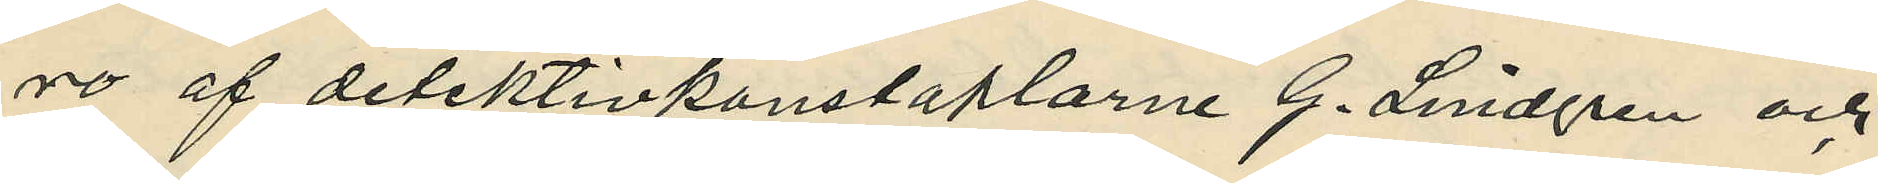ro af detektivkonstaplarna G. Lindgren och
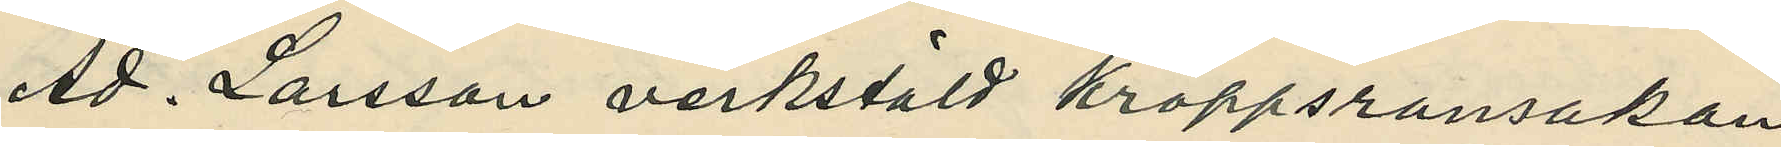Ad. Larsson verkstäld kroppsransakan
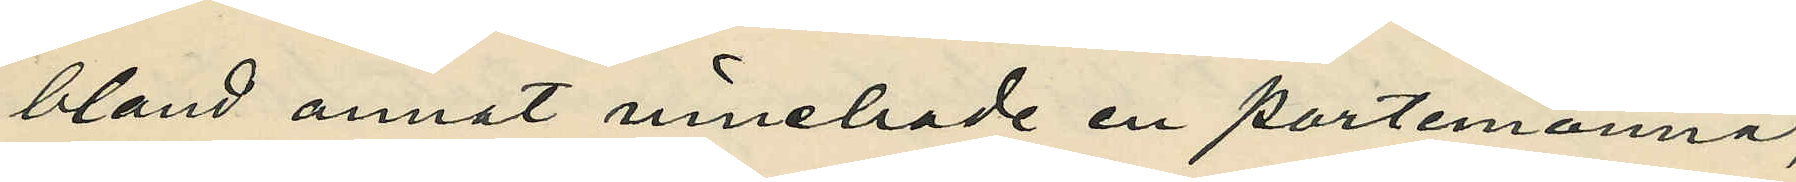bland annat innehade en portmonnä,
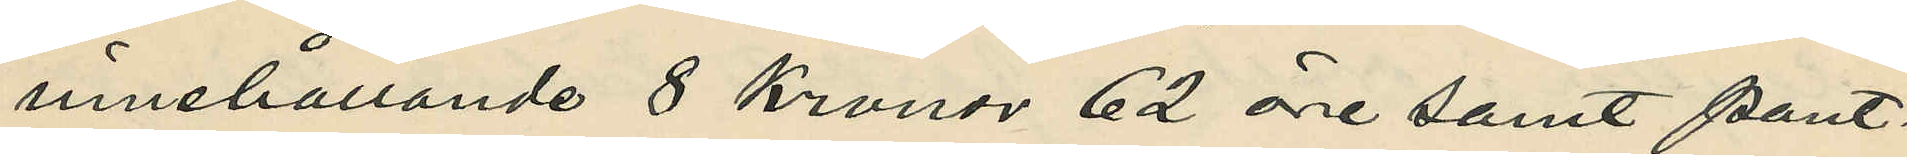innehållande 8 kronor 62 öre samt pant¬
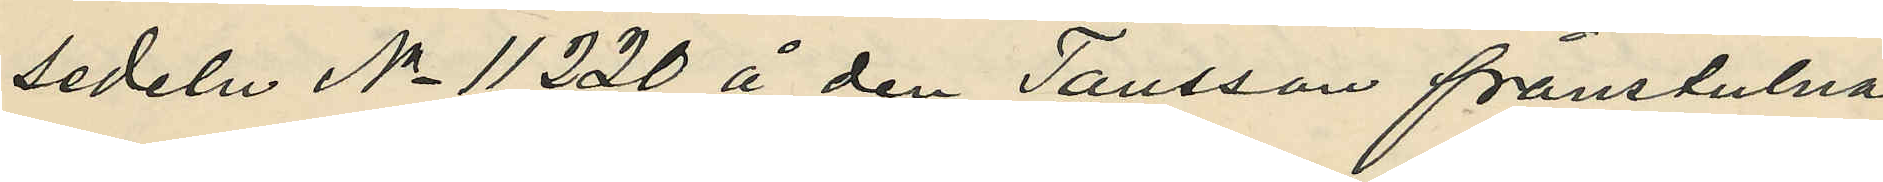sedeln No 11220 å den Tausson frånstulna
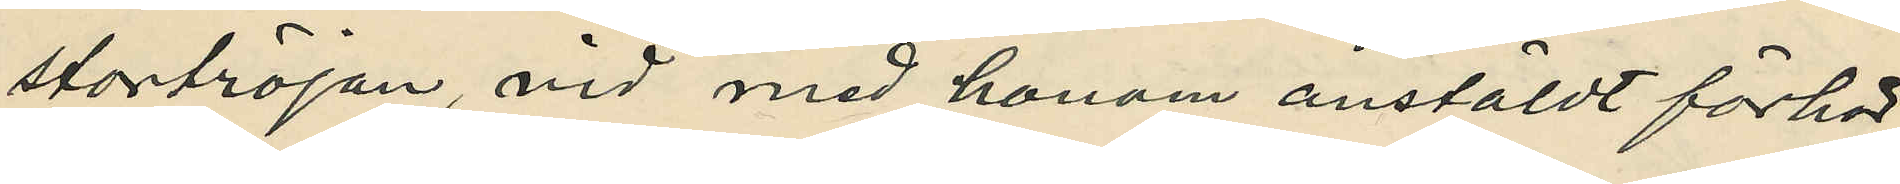stortröjan, vid med honom anstäldt förhör
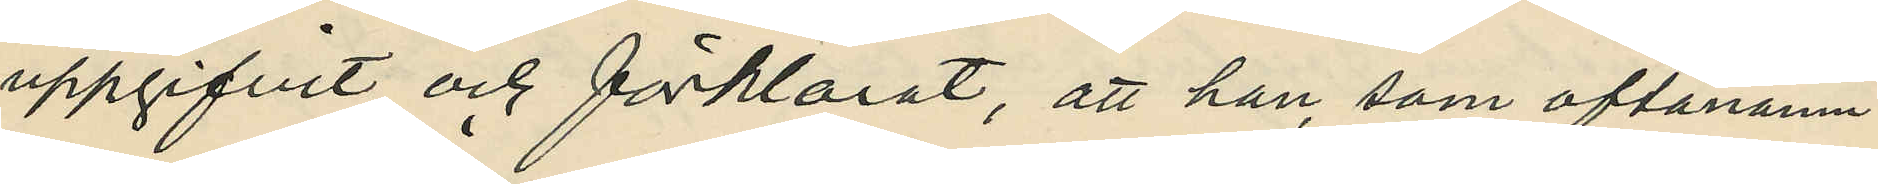uppgifvit och förklarat, att han som oftanämn¬
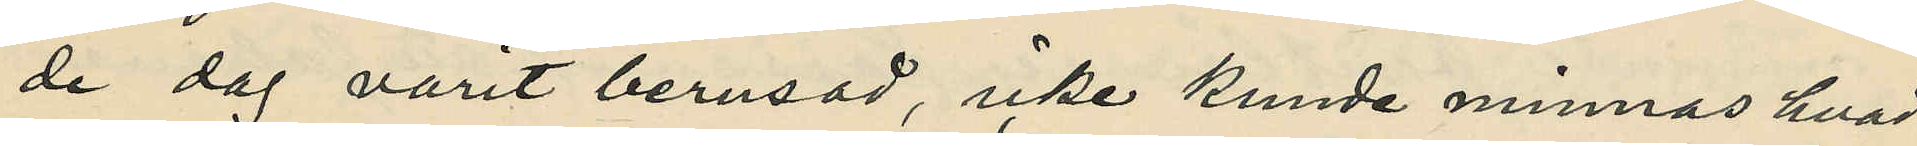de dag varit berusad, icke kunde minnas hvad
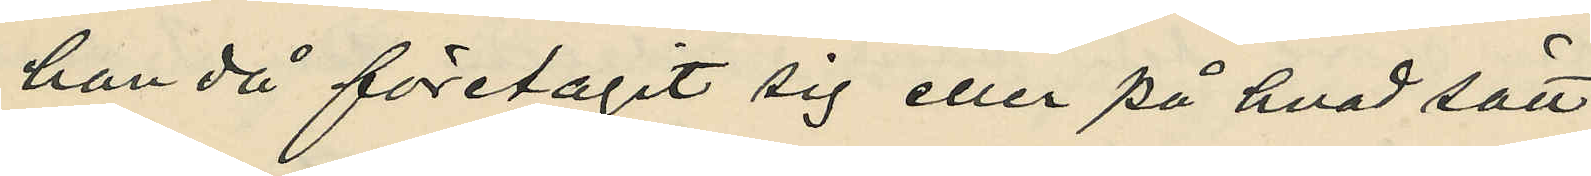han då företagit sig eller på hvad sätt
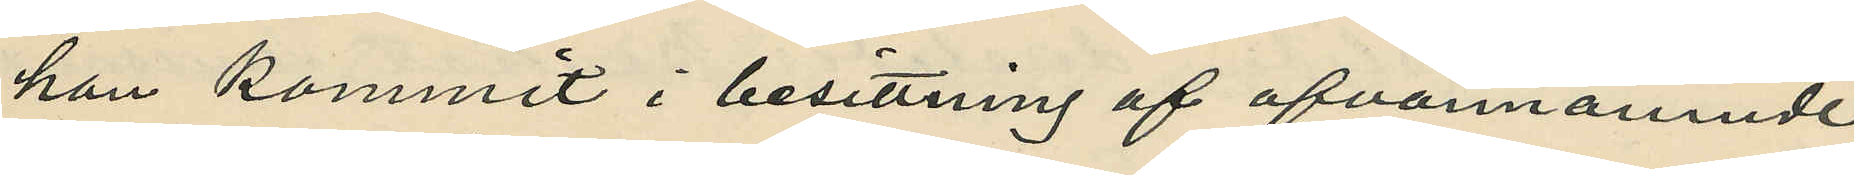han kommit i besittning af ofvannämnde
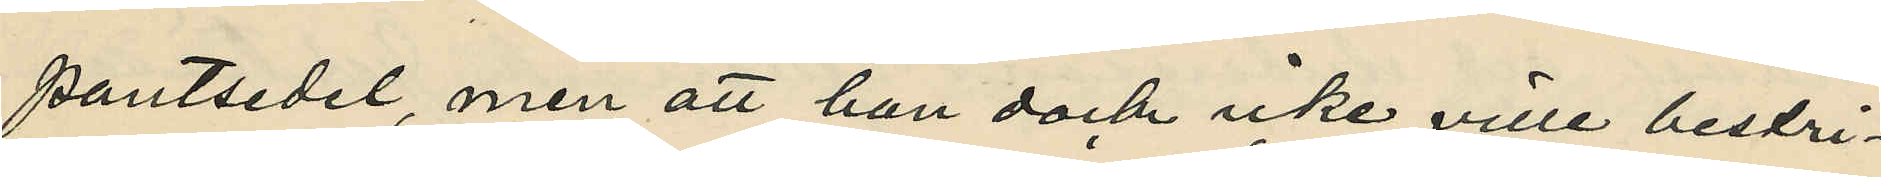pantsedel, men att han dock icke ville bestri¬
